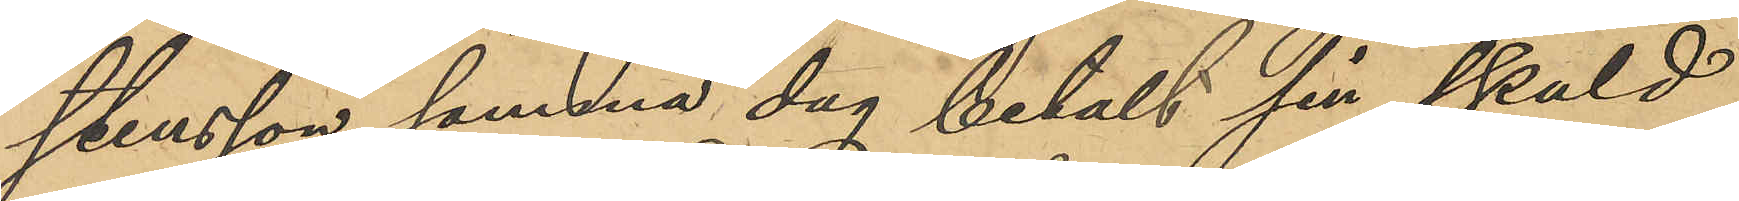stensson samma dag betalt sin skuld
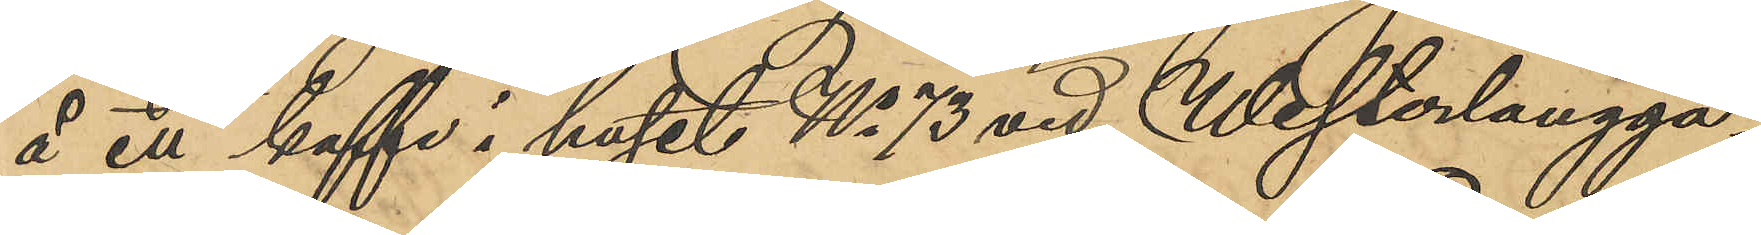å en kaffe i huset No 73 vid Westerlångga¬
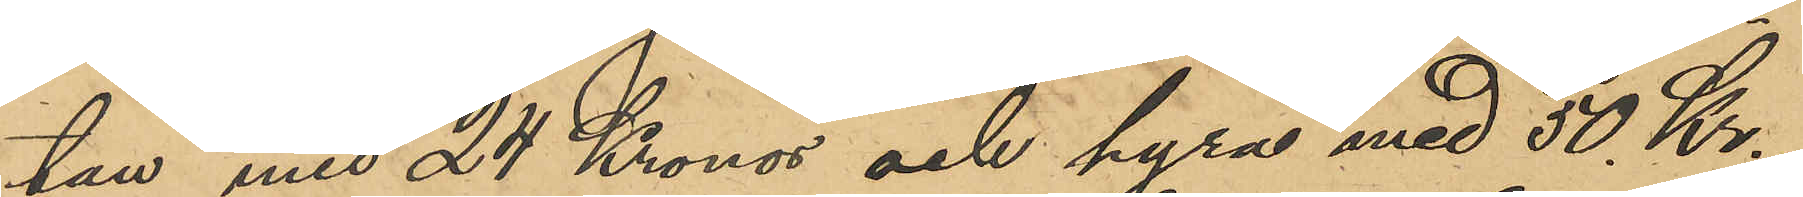tan med 24 Kronor och hyra med 50 Kr;
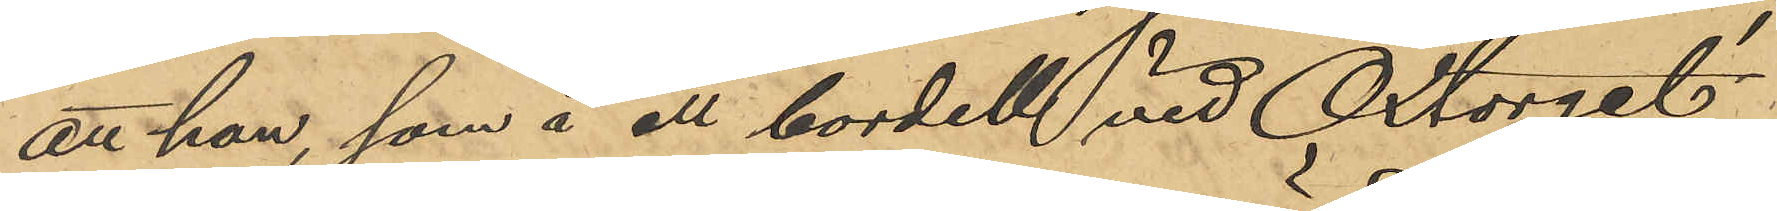att han, som å ett bordell vid Oxtorget
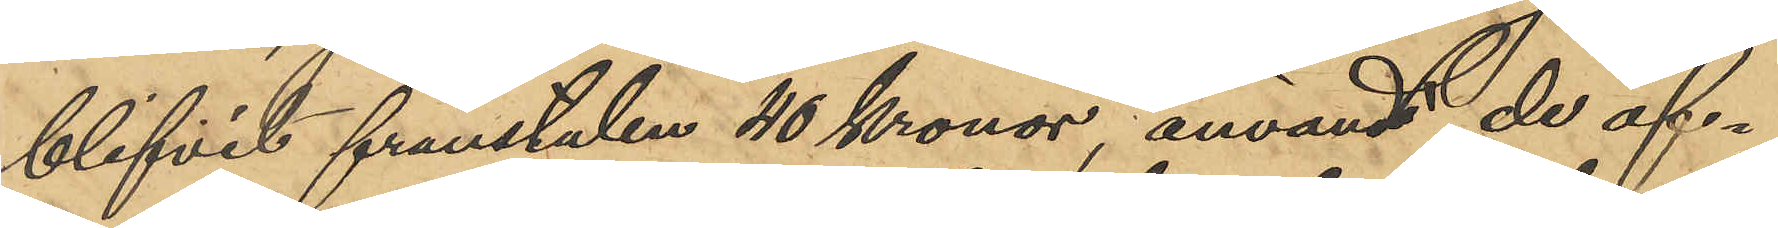blifvit frånstulen 40 Kronor, användt de öf¬
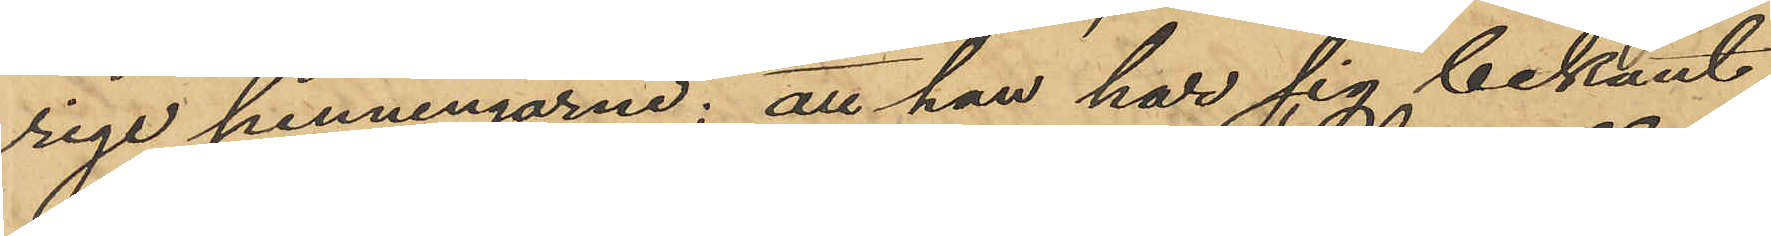rige penningarne; att han har sig bekant
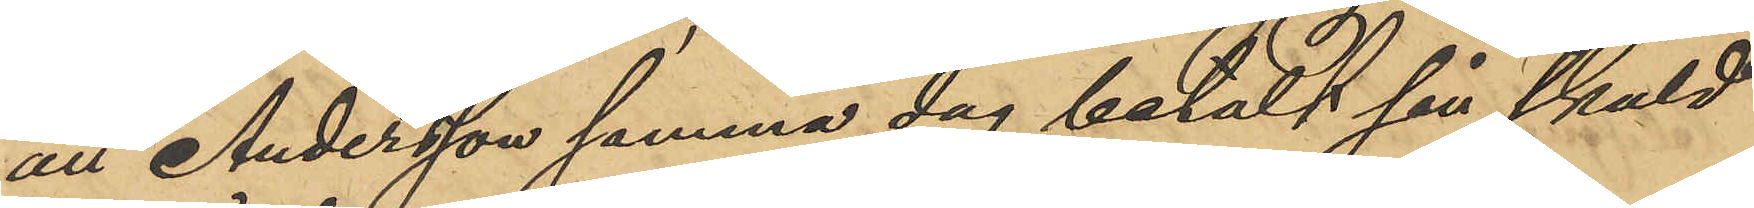att Andersson samma dag betalt sin skuld
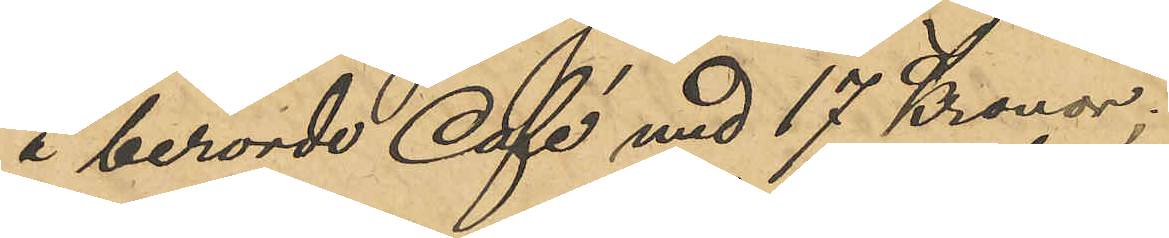å berörde Café med 17 Kronor;
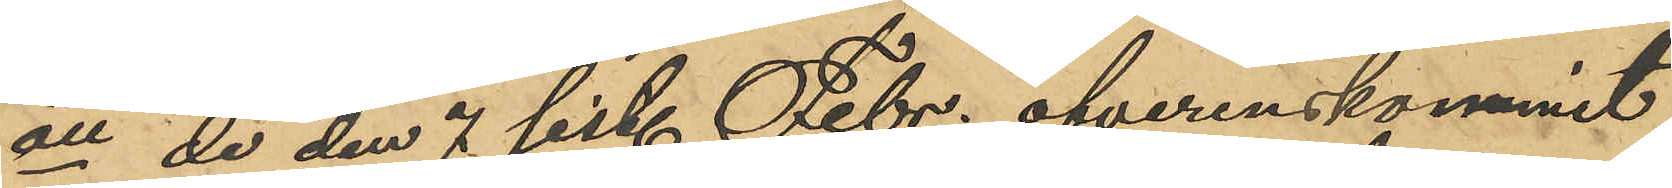att de den 7 sist. Febr. öfverenskommit
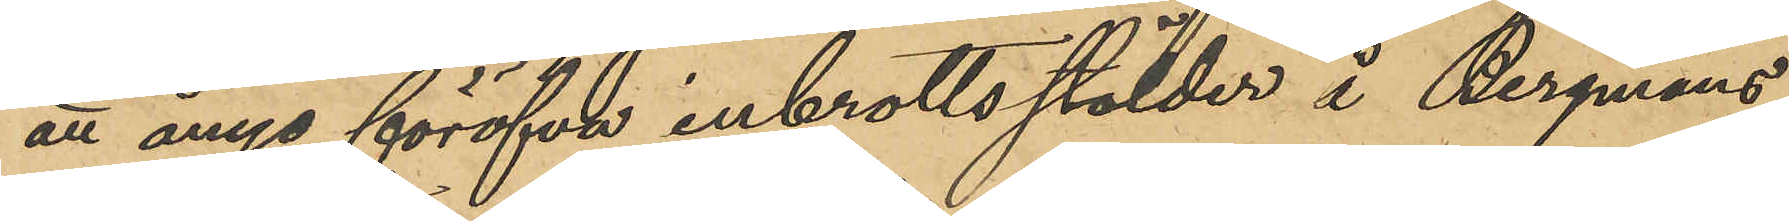att ånyo föröfva inbrottsstölder å Bergmans
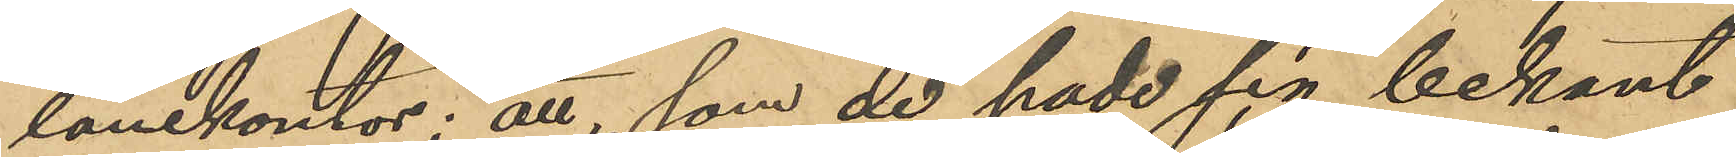lånekontor; att, som de hade sig bekant
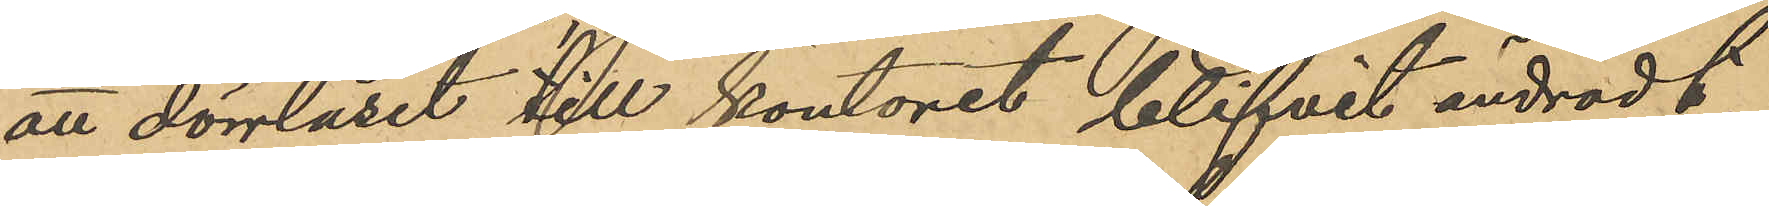att dörrlåset till kontoret blifvit ändradt,
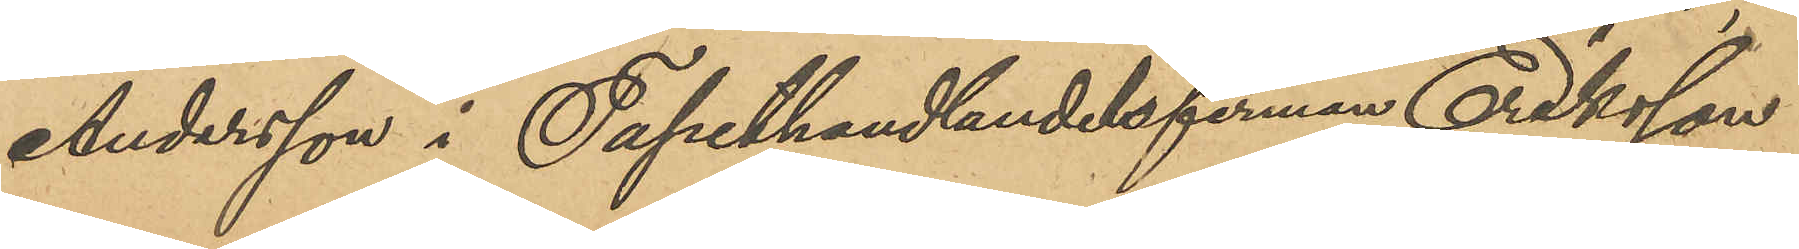Andersson i Tapethandlandersfirman Eriksson
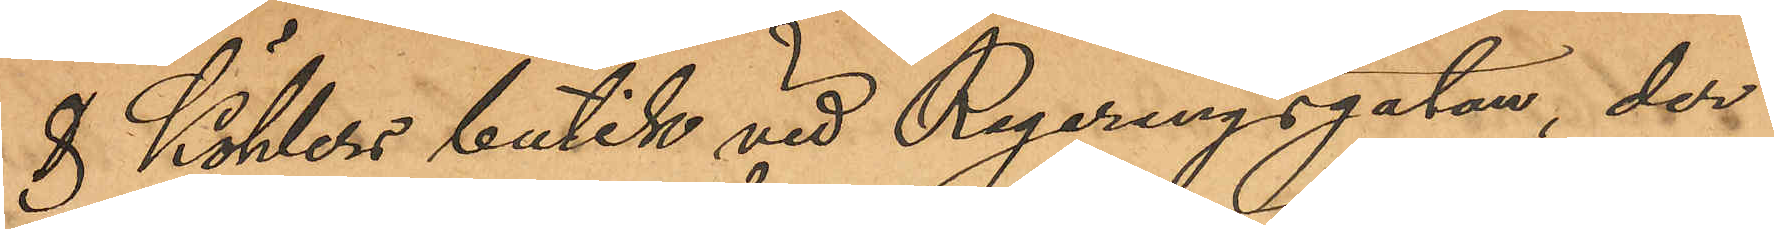& Köhlers butik vid Regeringsgatan, der
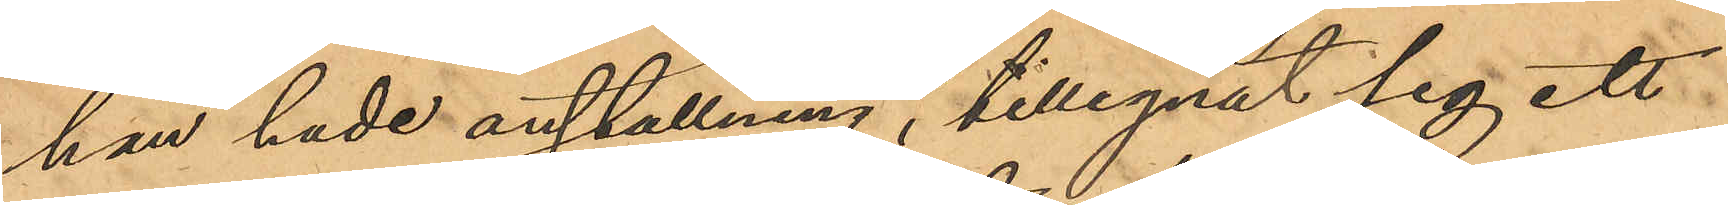han hade anställning, tillegnat sig ett
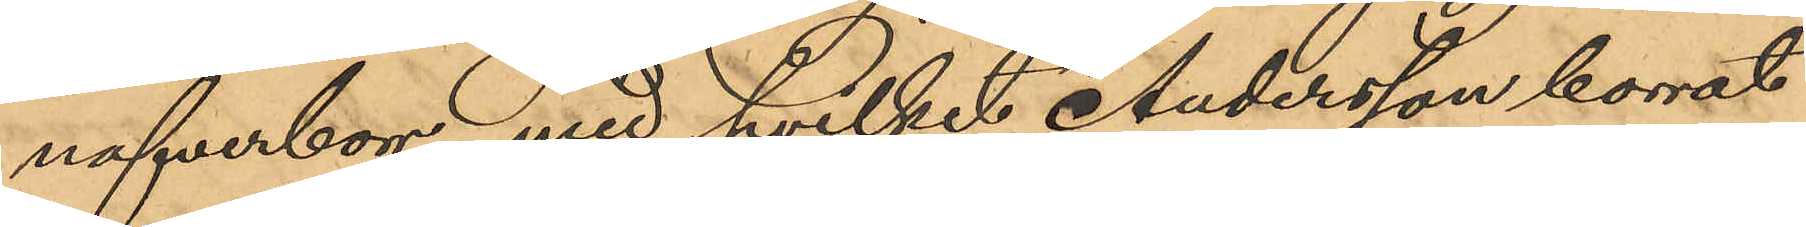nafverborr, med hvilket Andersson borrat
